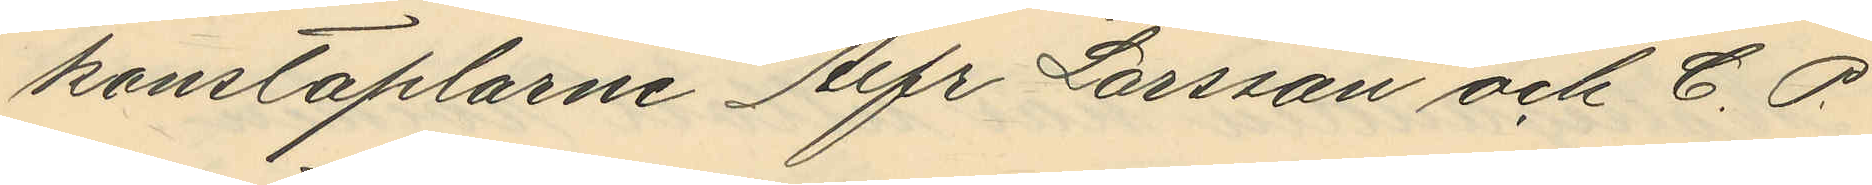konstaplarne Alfr Larsson och C. O.
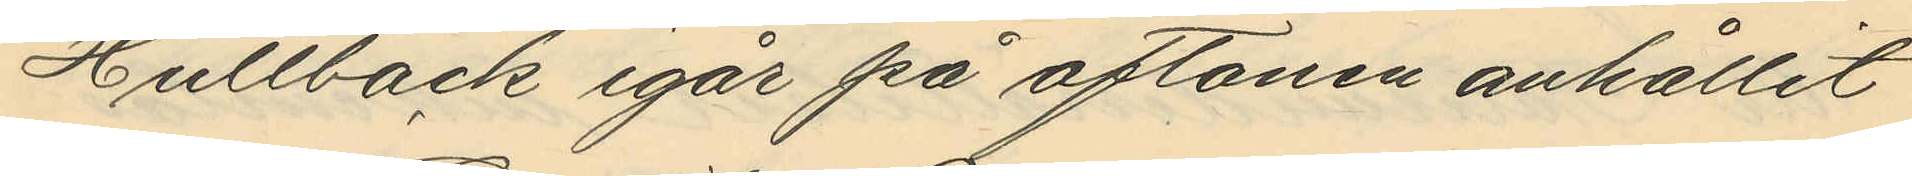Hultbäck igår på aftonen anhållit
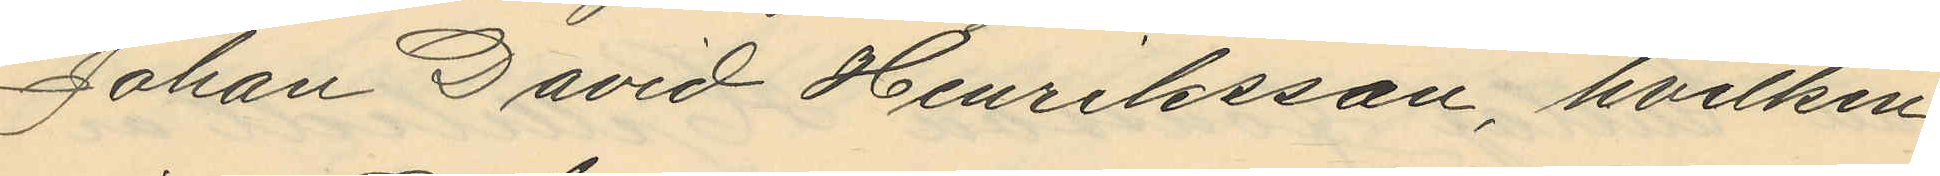Johan David Henriksson, hvilken
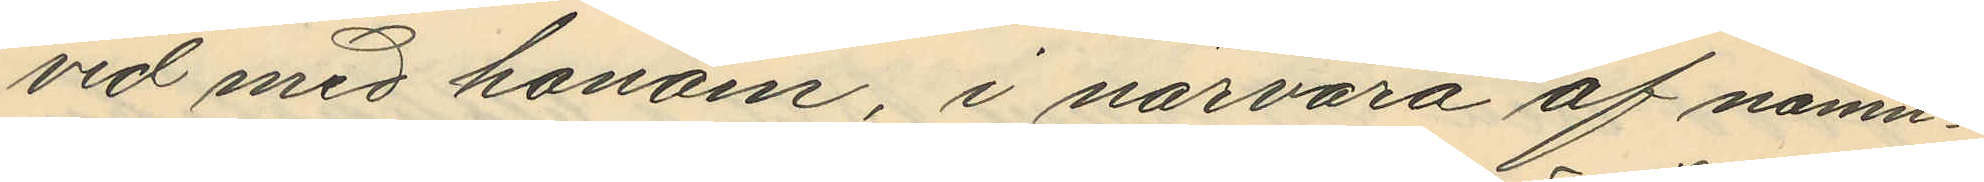vid med honom, i närvaro af nämn¬
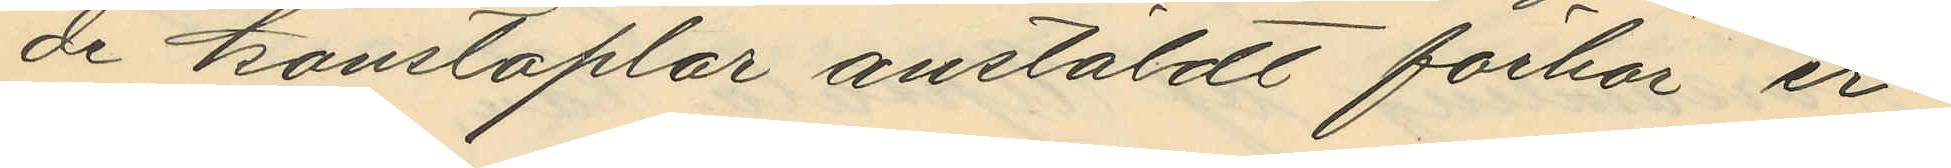de konstaplar anstälde förhör er¬
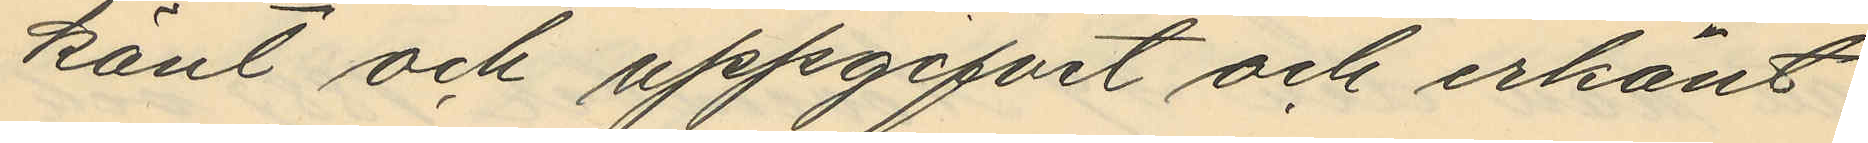känt och uppgifvit och erkänt
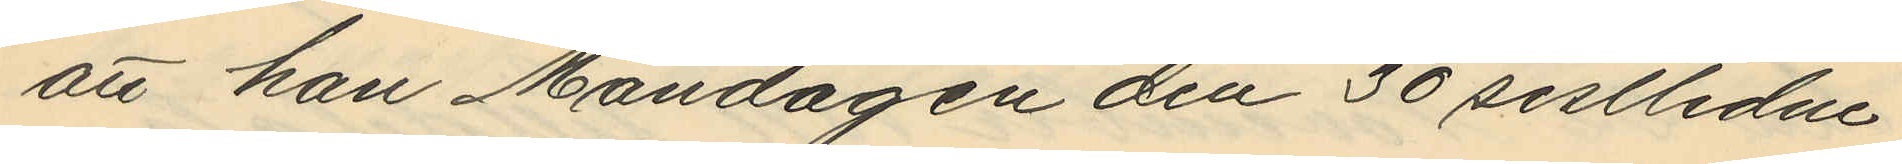att han Måndagen den 30 sistlidne
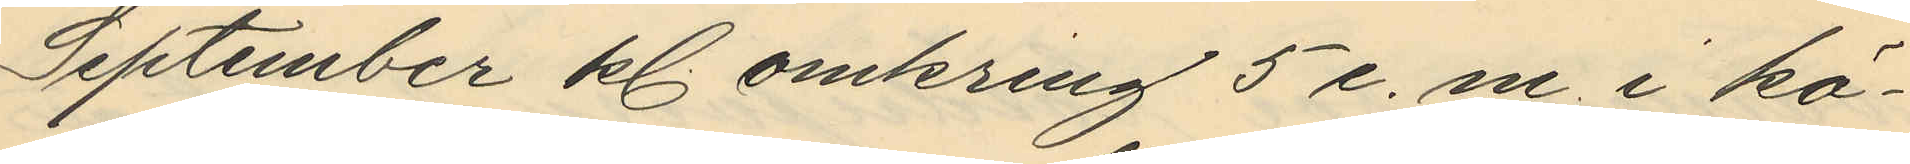September kl. omkring 5 e. m. i kö¬
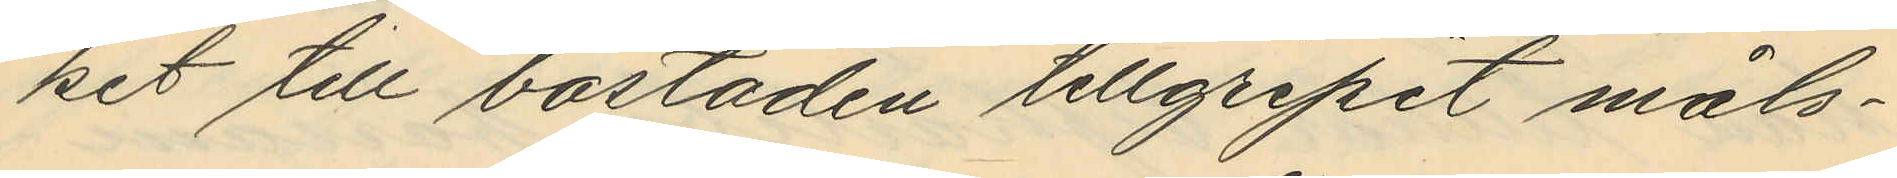ket till bostaden tillgripit måls¬
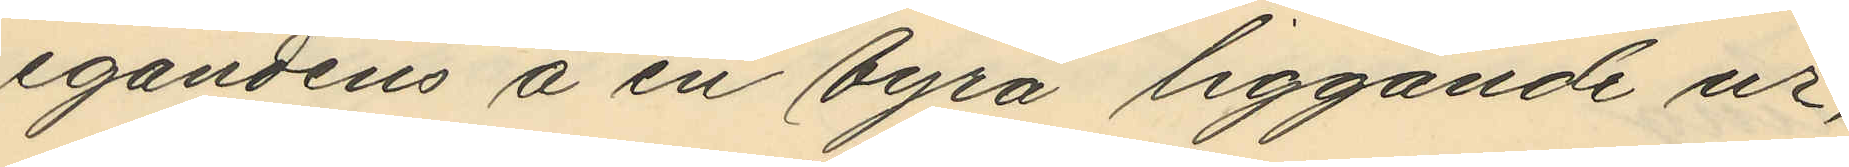egandens å en byrå liggande ur,
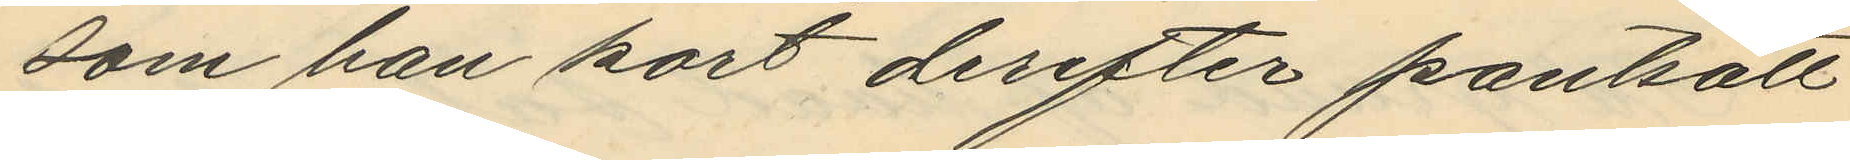som han kort derefter pantsatt
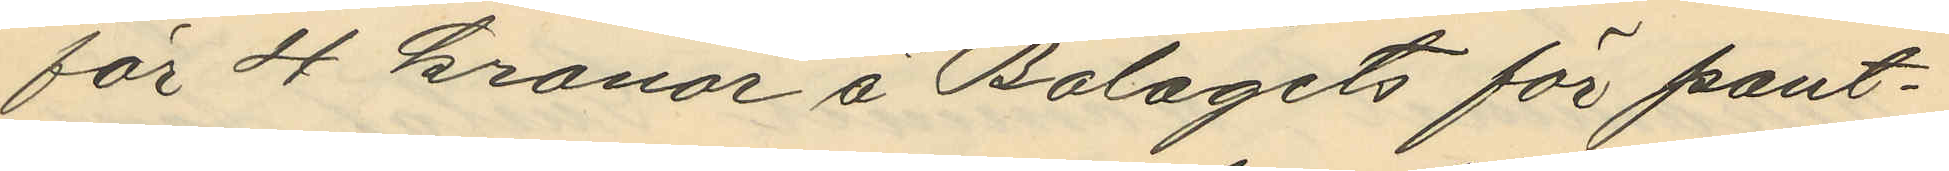för 4 kronor å Bolagets för pant¬
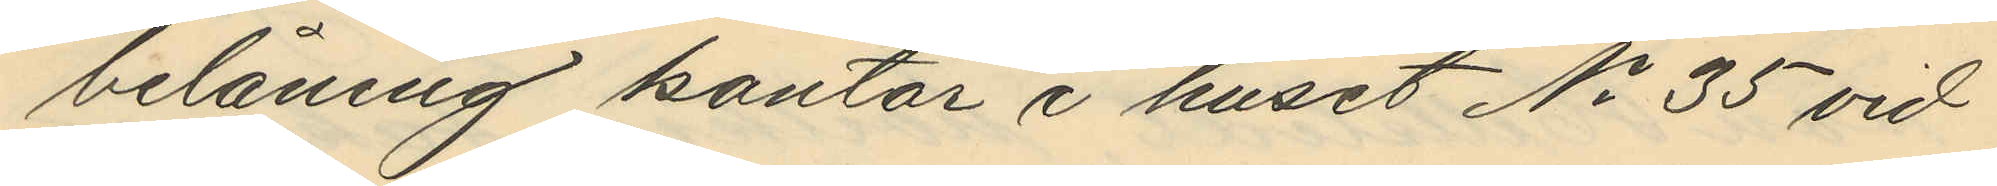belåning kontor i huset No 35 vid
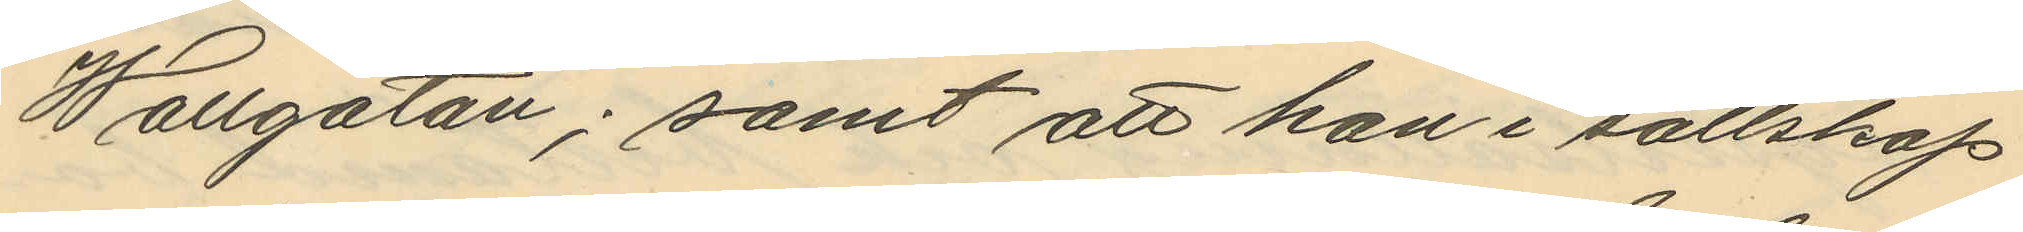Wallgatan; samt att han i sällskap
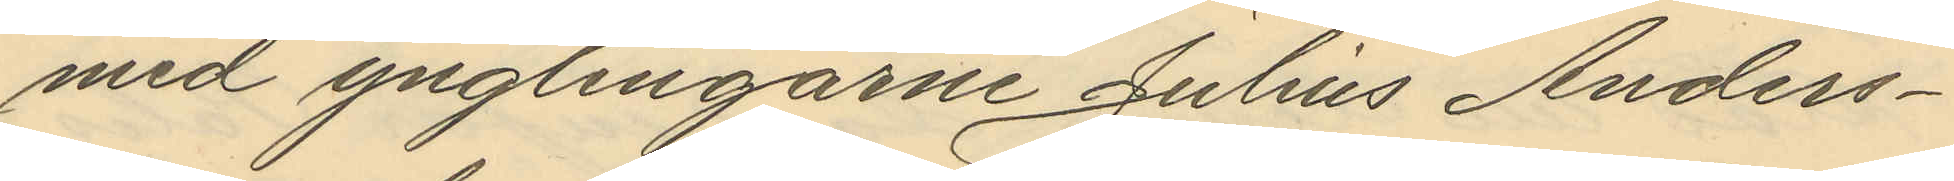med ynglingarne Julius Anders¬
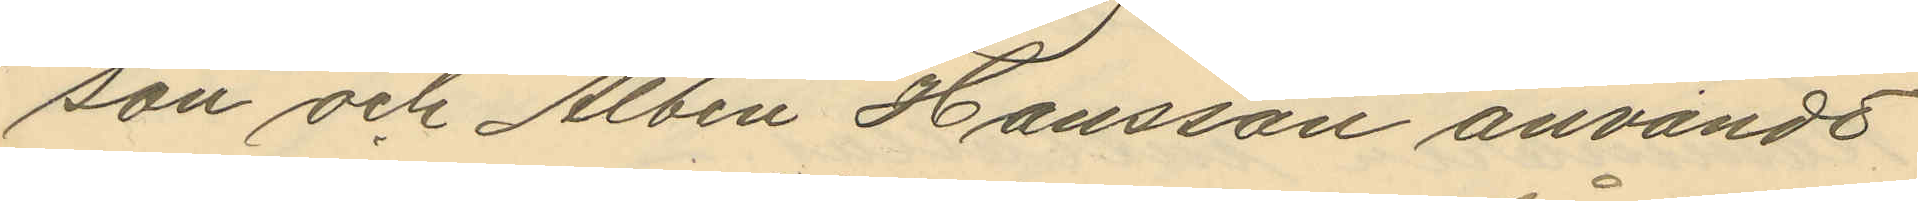son och Albin Hansson användt
